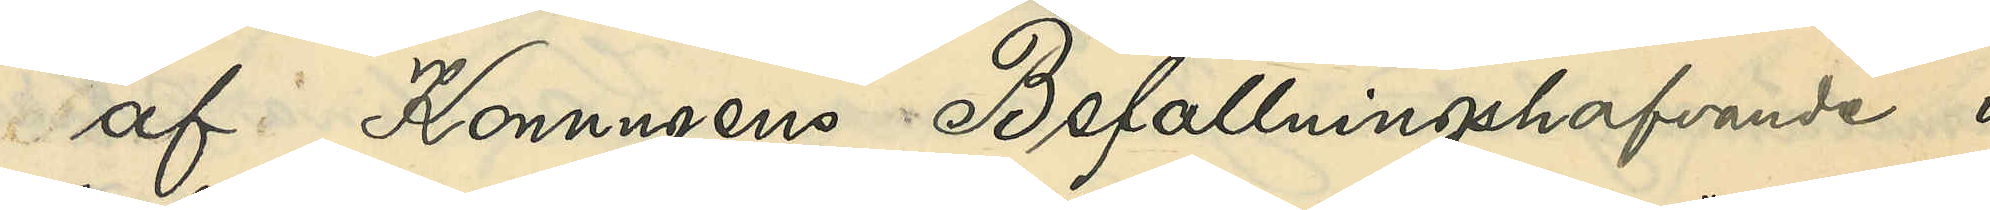af Konungens Befallningshafvande i
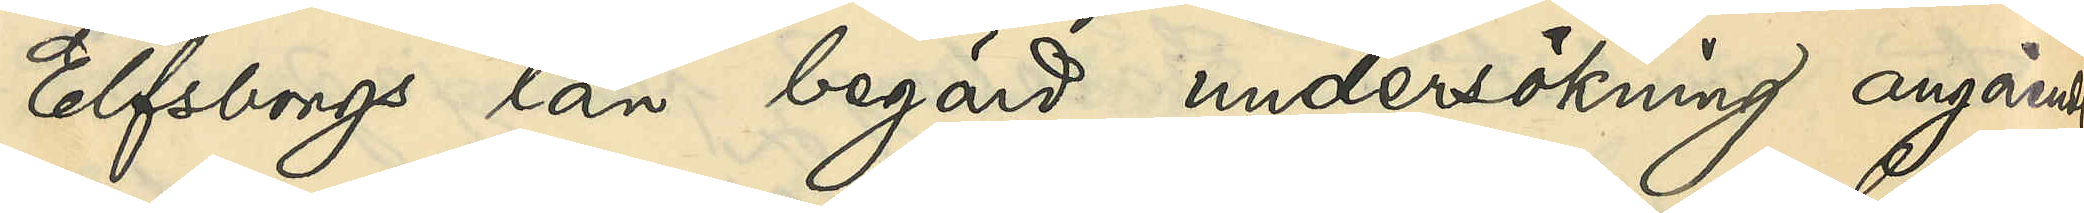Elfsborgs län begärda undersökning angående
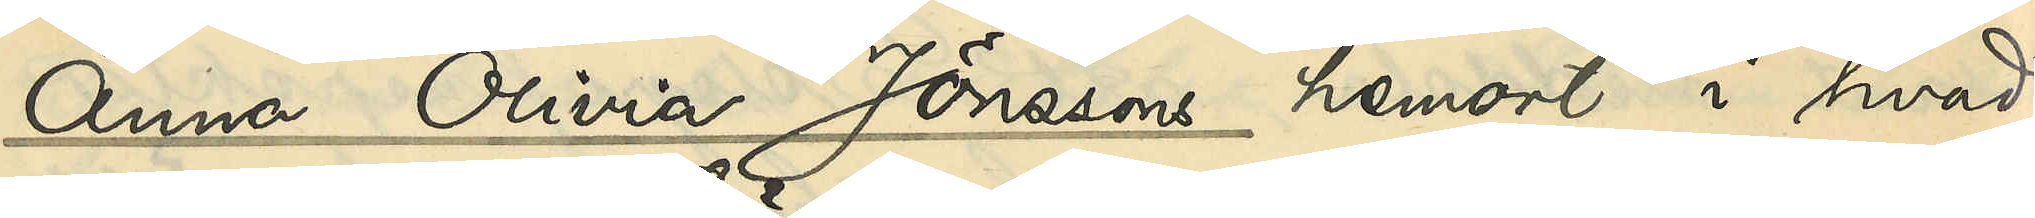Anna Olivia Jönssons hemort i hvad
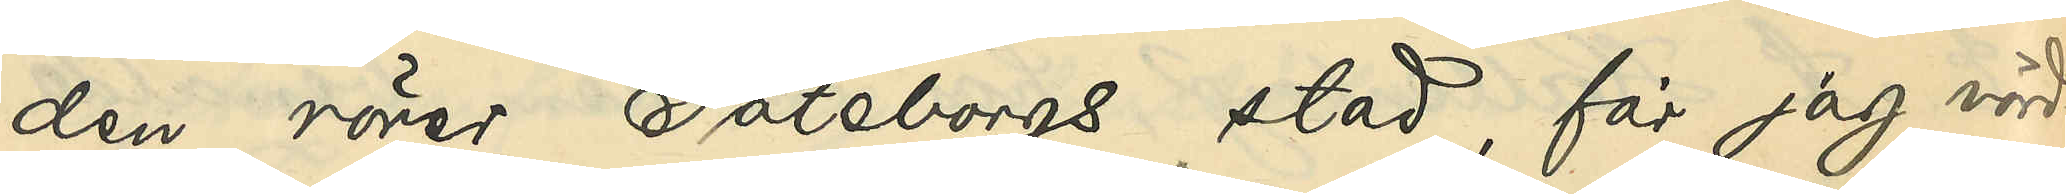den rörer Göteborgs stad, får jag vörd¬
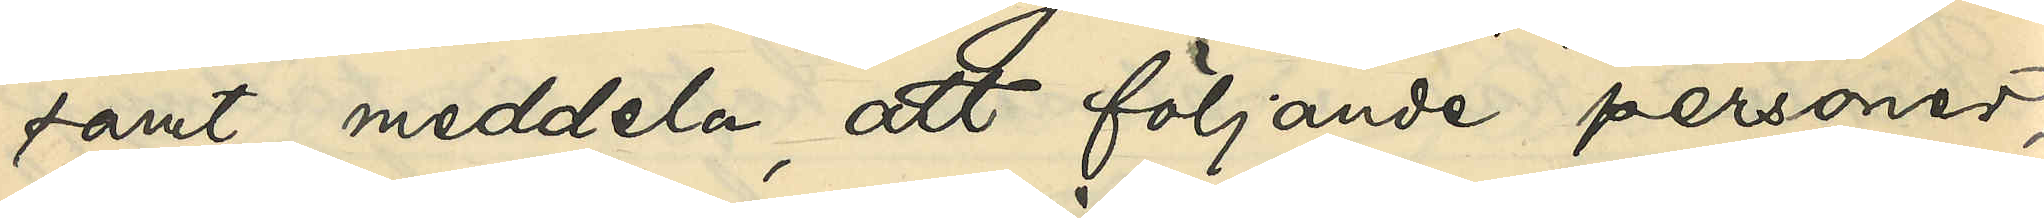samt meddela, att följande personer
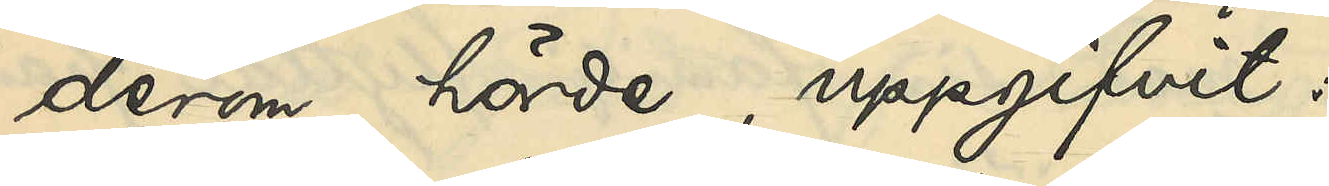derom hörde, uppgifvit:
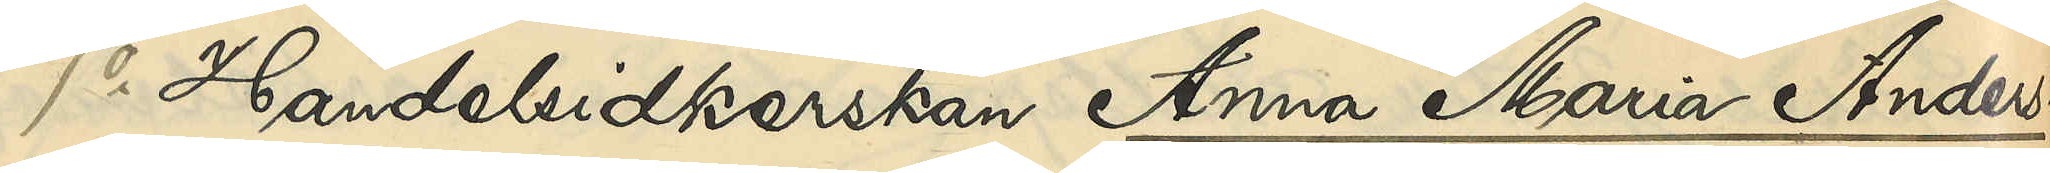1o Handelsidkerskan Anna Maria Anders¬
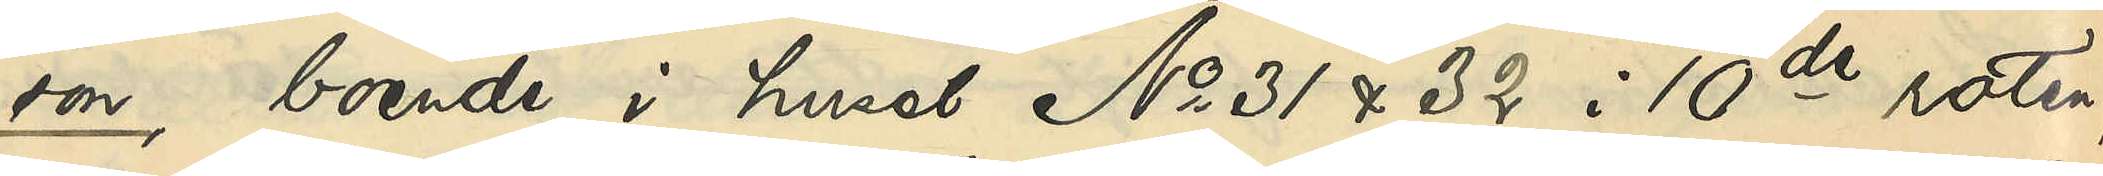son, boende i huset No 31 & 32 i 10de roten
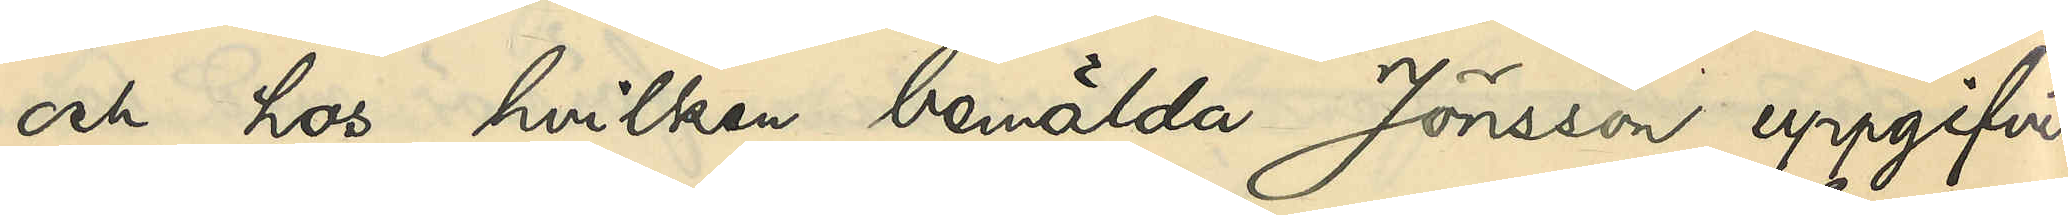och hos hvilken bemälda Jönsson uppgifvit
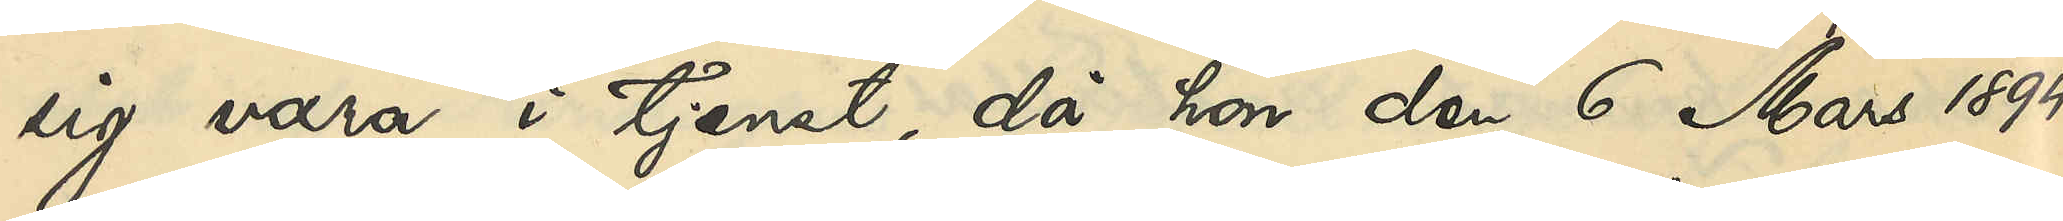sig vara i tjenst, då hon den 6 Mars 1894
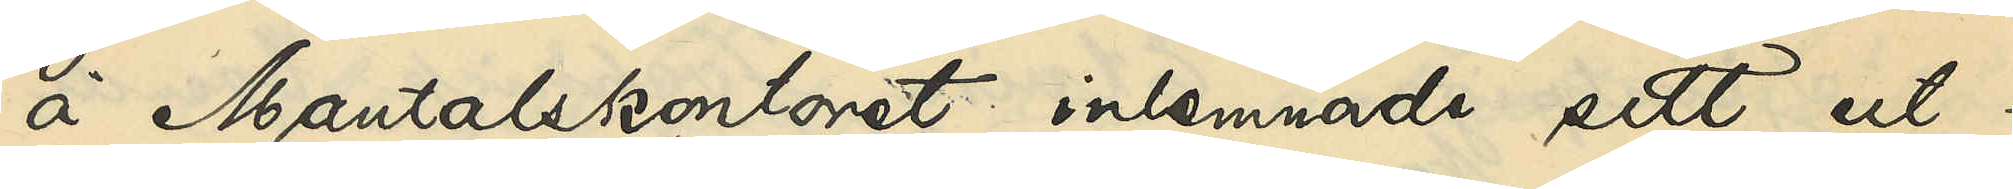å Mantalskontoret inlemnade sitt ut¬
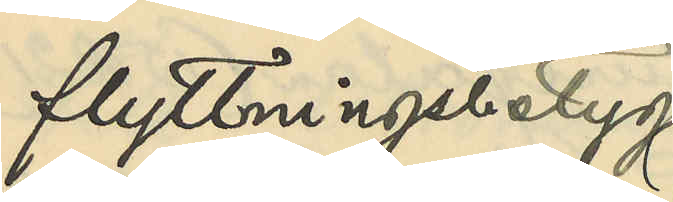flyttningsbetyg
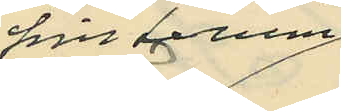från Lerum:
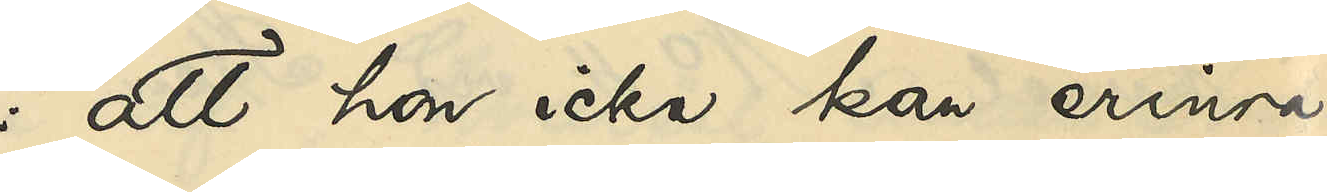att hon icke kan erinra
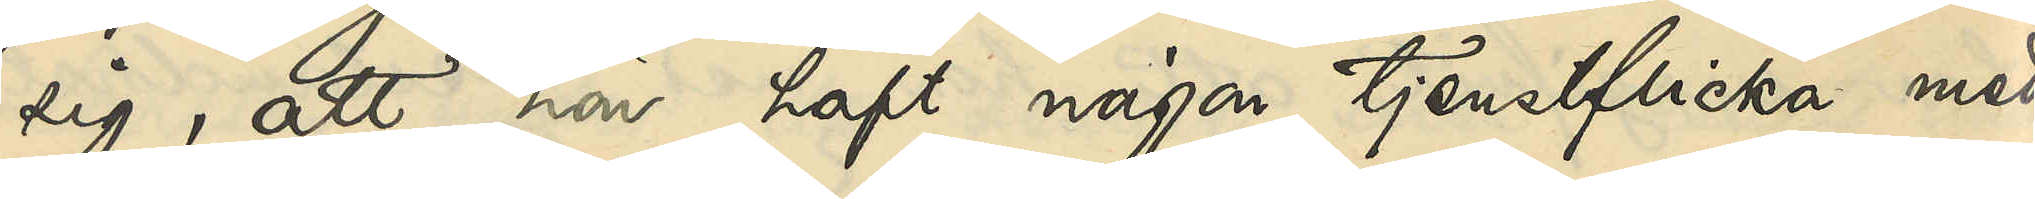sig, att hon haft någon tjensteflicka med
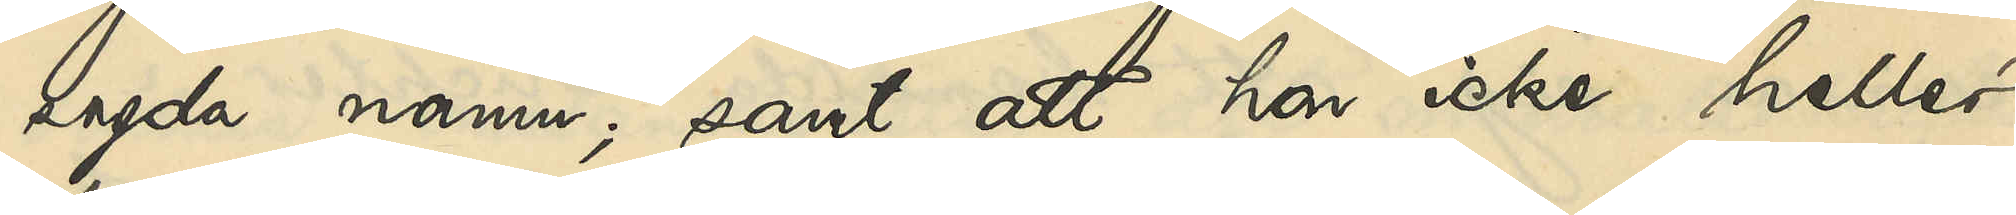sagda namn; samt att hon icke heller
